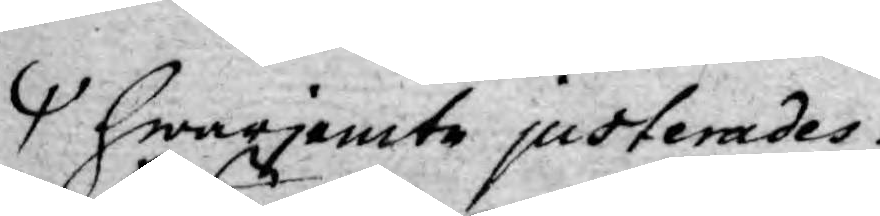Hwarjemte justerades
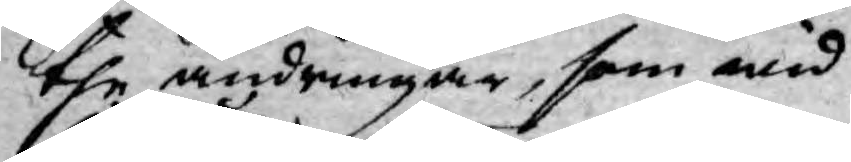the ändringar, som wid
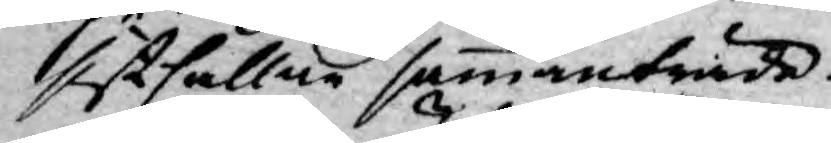sisthållne sammanträde
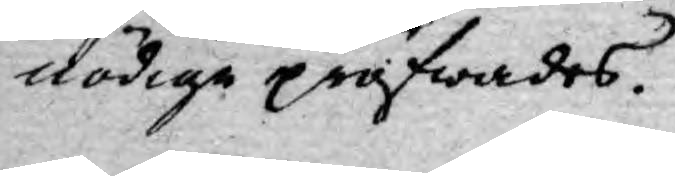nödige pröfwades.
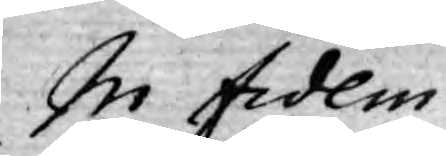In fidem
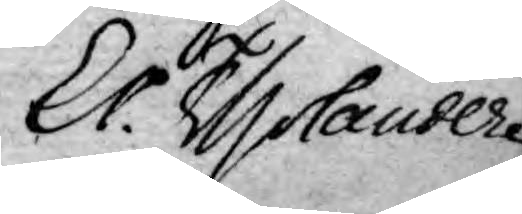Er. Tholander
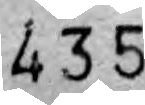435
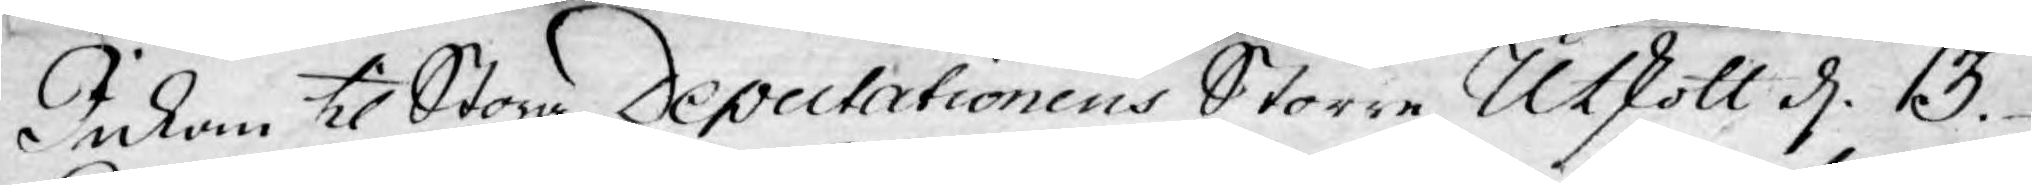Inkom til Stora Deputationens Större Utskott d. 13.
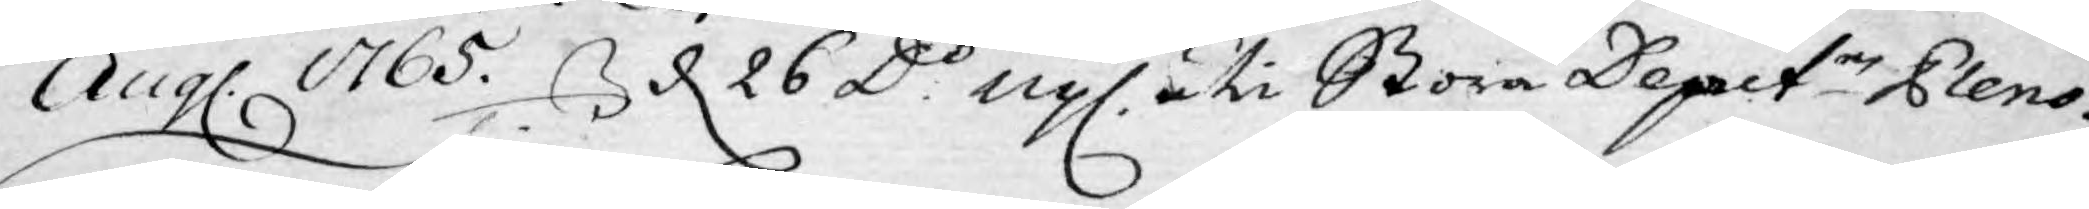Aug. 1765. d. 26 D:o upl. uti Stora Deput.n Pleno.
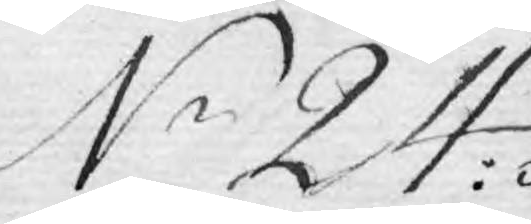N 24:
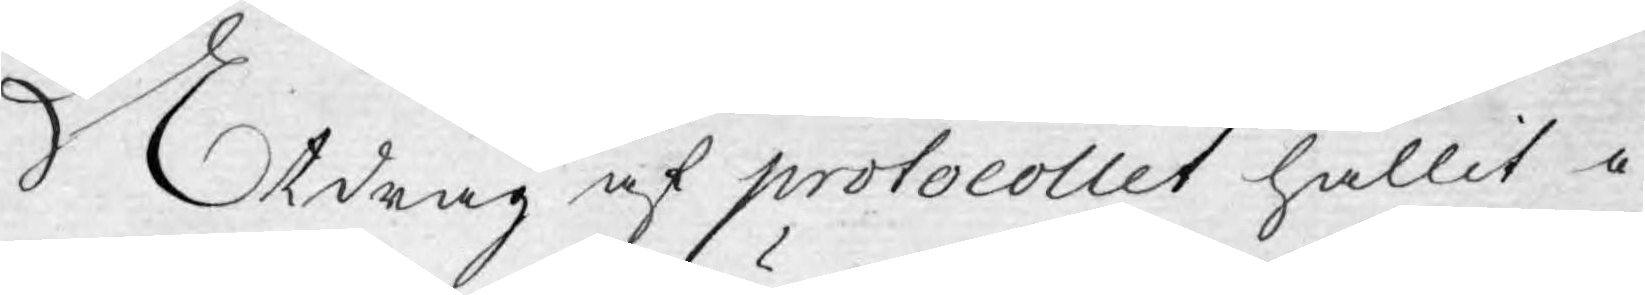Utdrag af protocollet hållit i
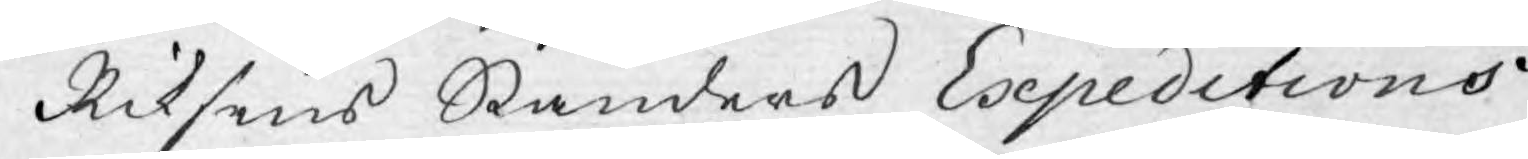Riksens Ständers Expeditions
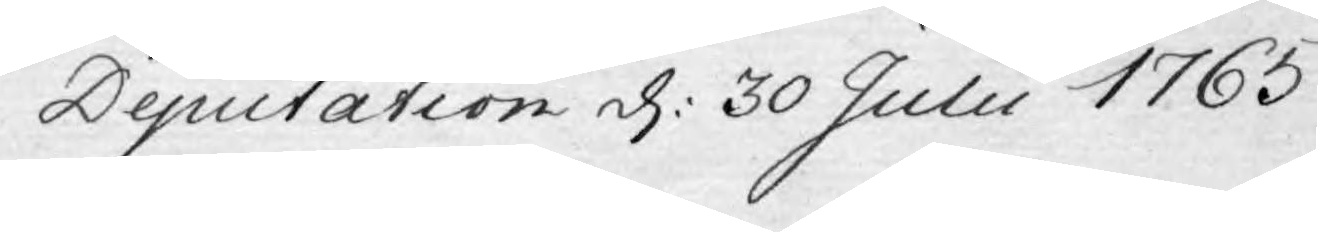Deputation d: 30 Julii 1765.
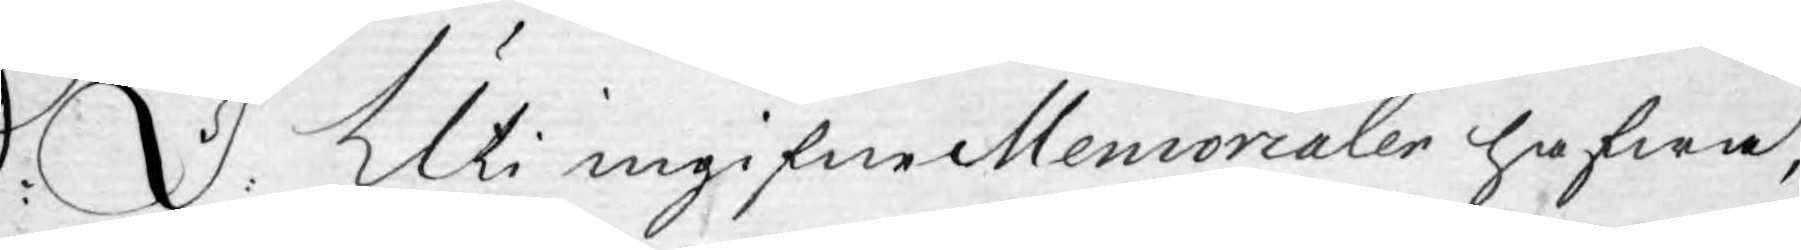S: d: Uti ingifne Memorialer hafwa,
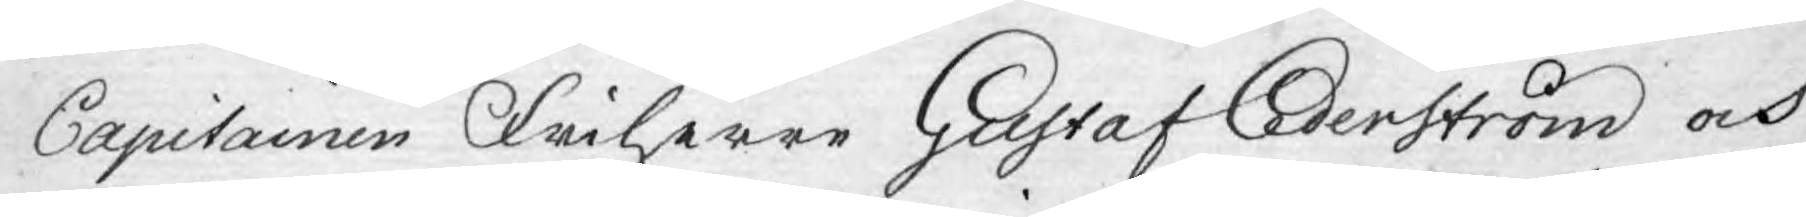Capitainen Friherre Gustaf Cederström och
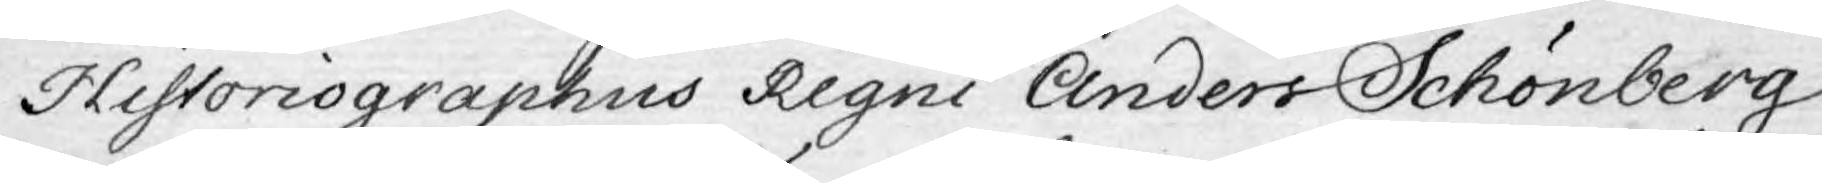Historiographus Regni Anders Schönberg
